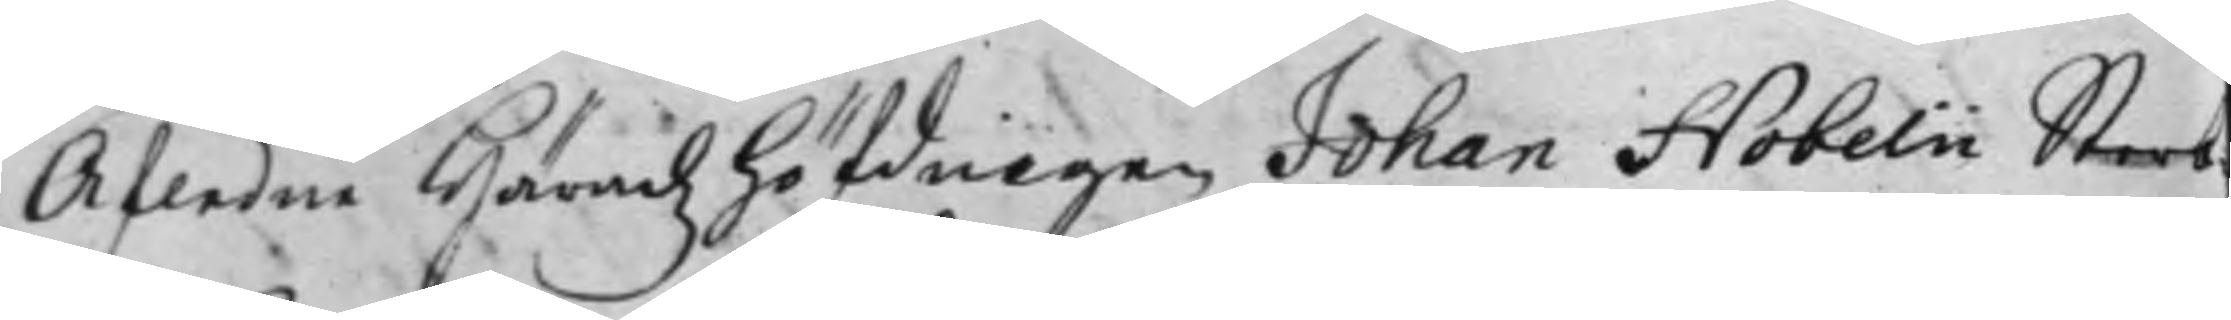Afledne Häradzhöfdingen Johan Hobelii Sterb¬
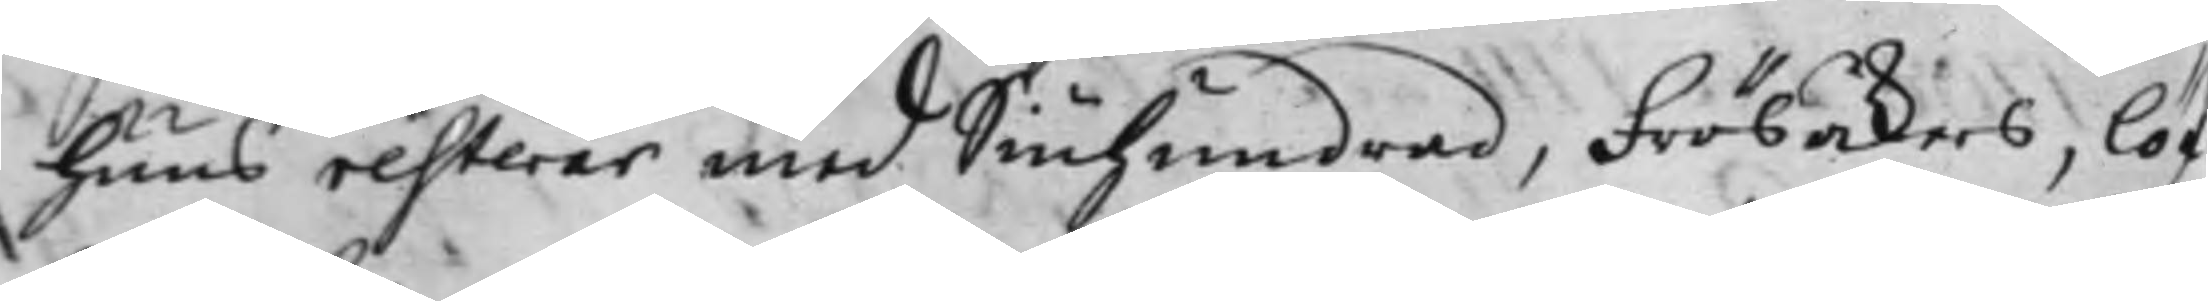huus resterar med Siuhundrad, Frösåkers, Lö
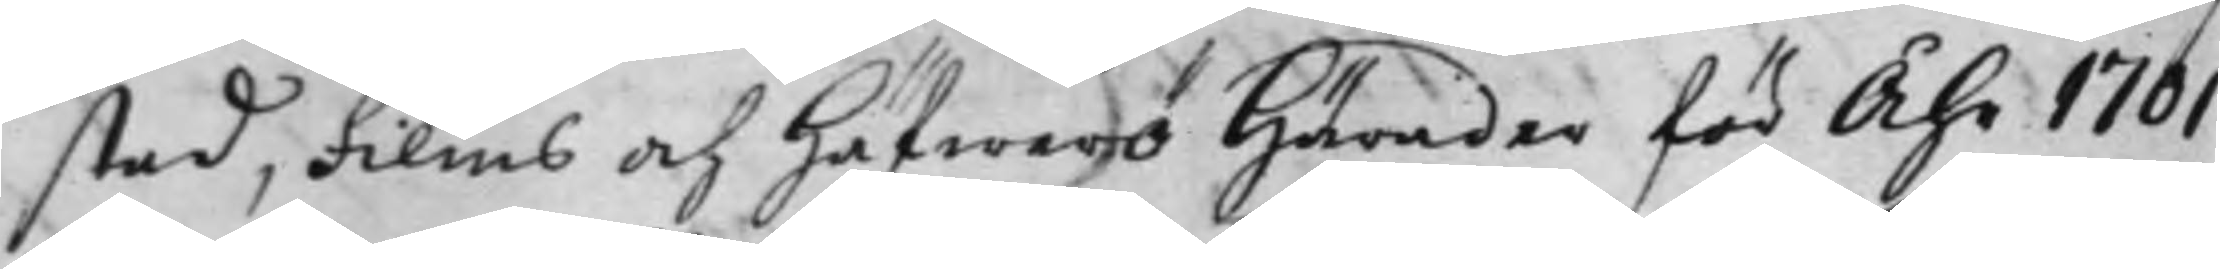stad, Films och Häfwerö Härader för Åhr 1701
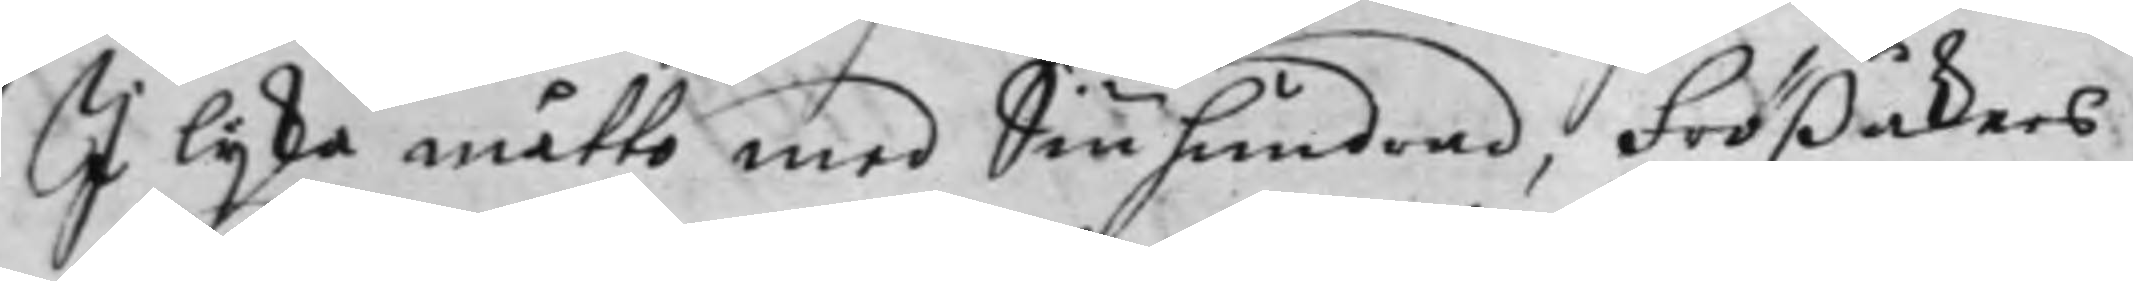I lika måtto med Siuhundrad, Frößåkers,
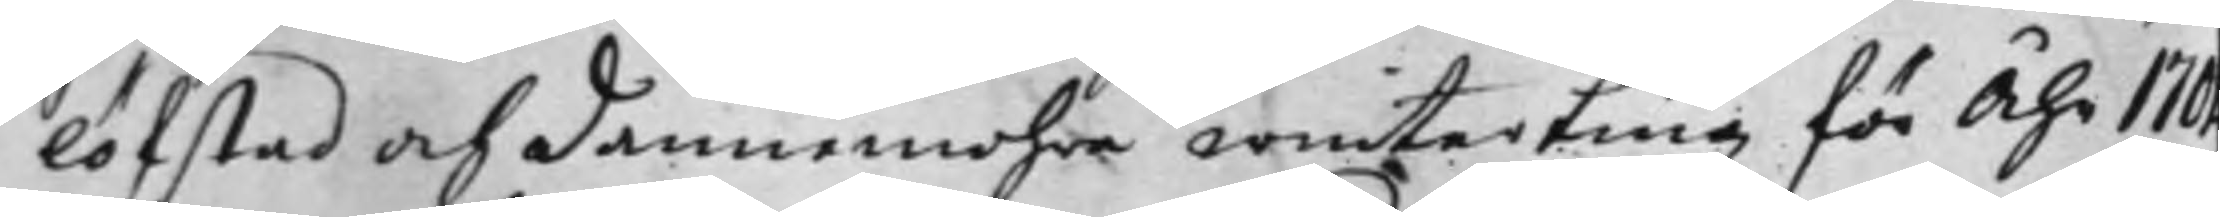Löfstad och Dannemohra winterting för Åhr 170
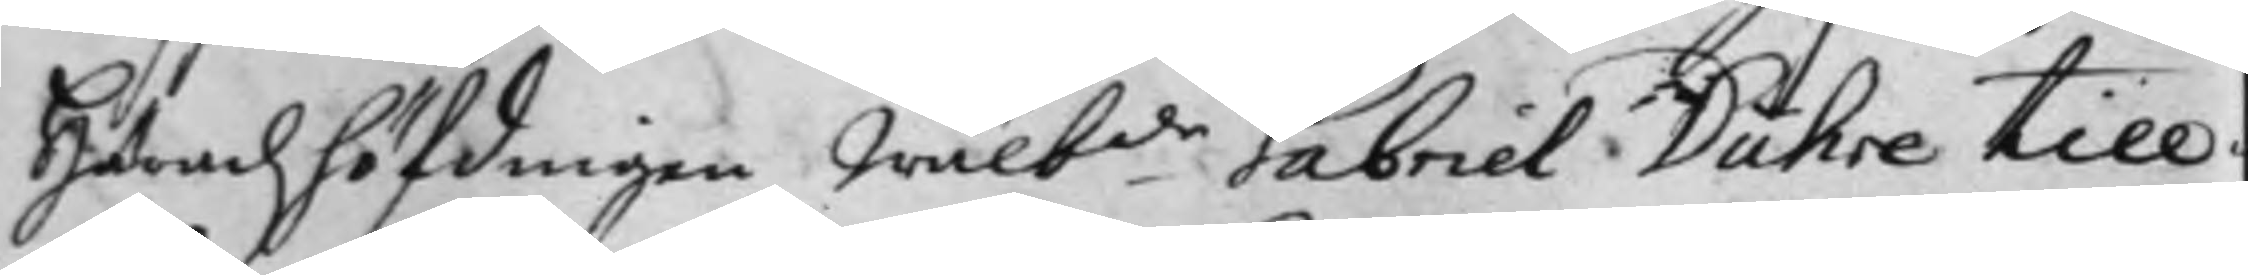Häradzhöfdingen Wälb:de Gabriel Duhre till¬
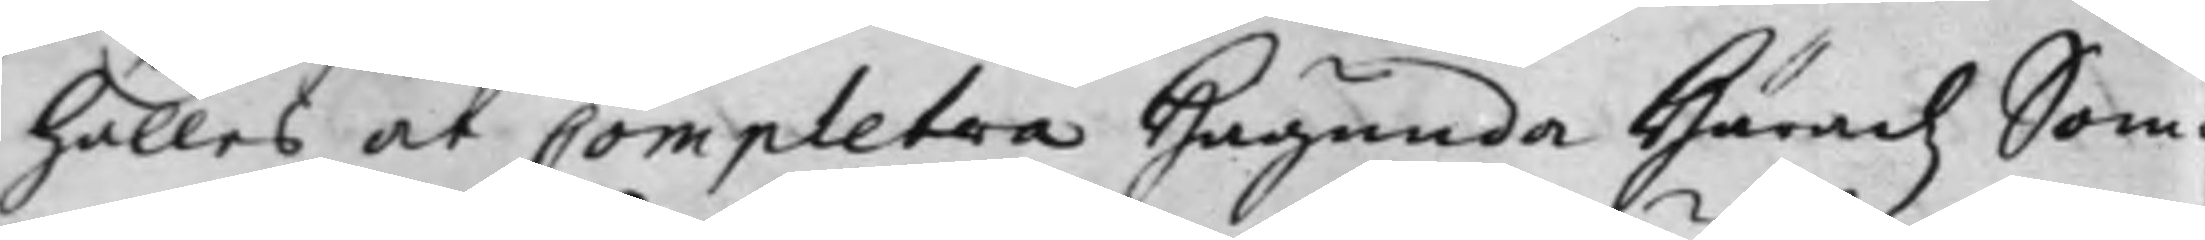hålles at Completera Hagunda Häradz Som¬
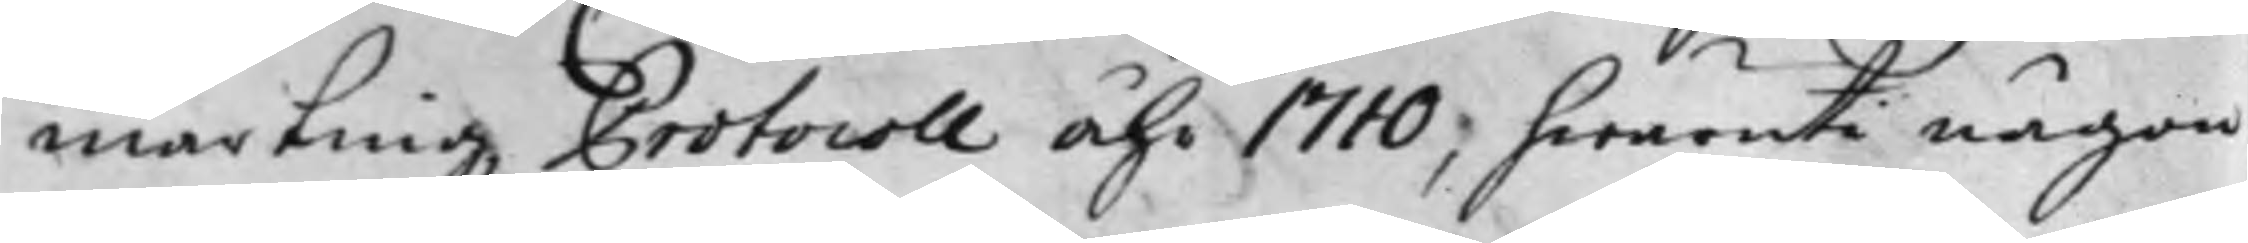martingz Protocoll Åhr 1710; hwaruti någon
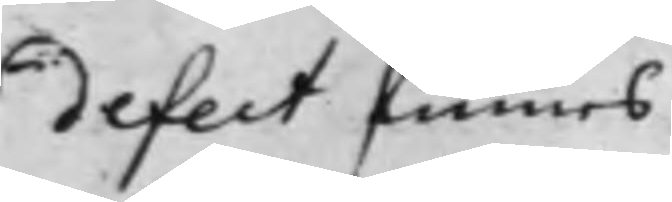defect finnes.
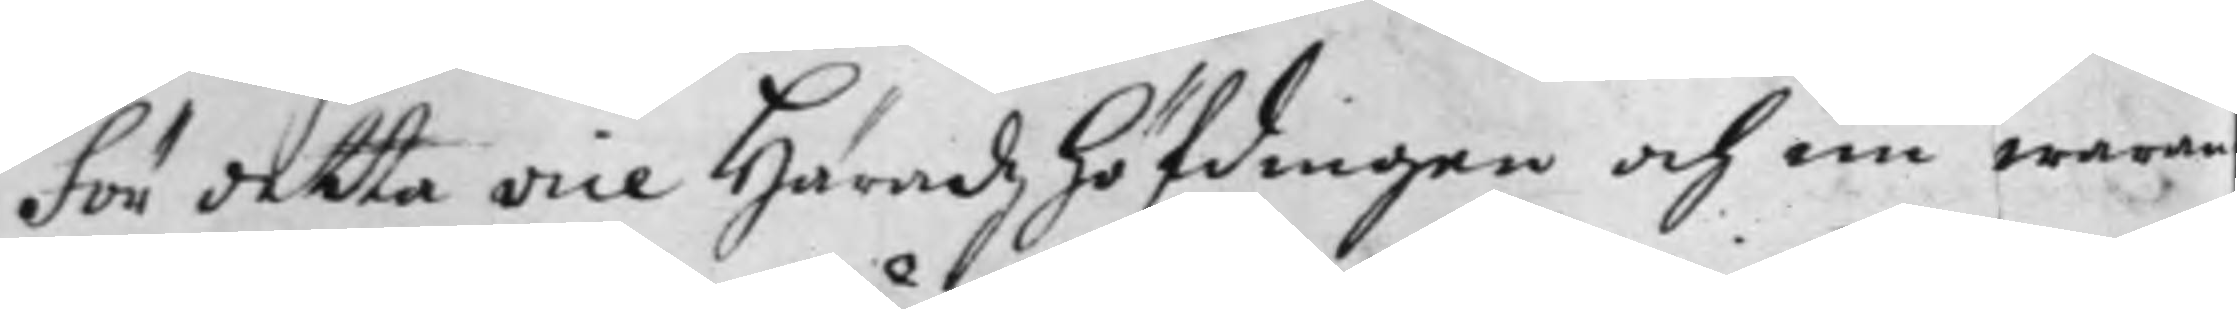För detta vice Häradzhöfdingen och nu waran¬
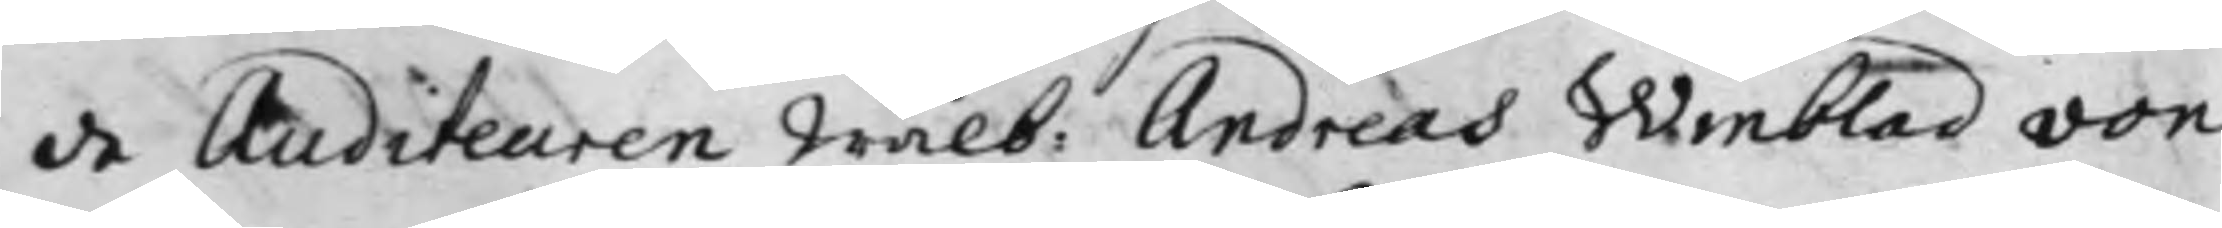de Auditeuren Wälb: Andreas Winblad von
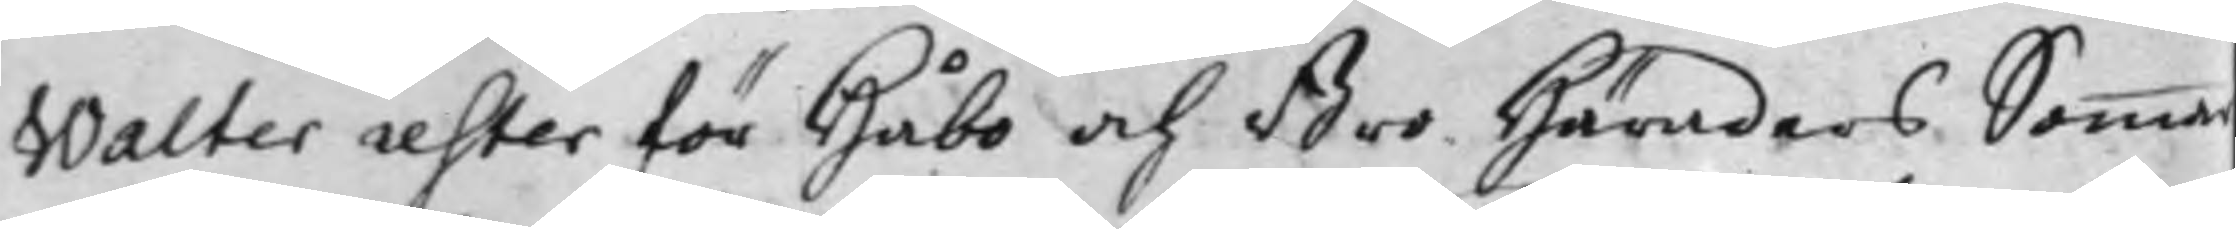Walter rester för Håbo och Bro Häraders Sommar
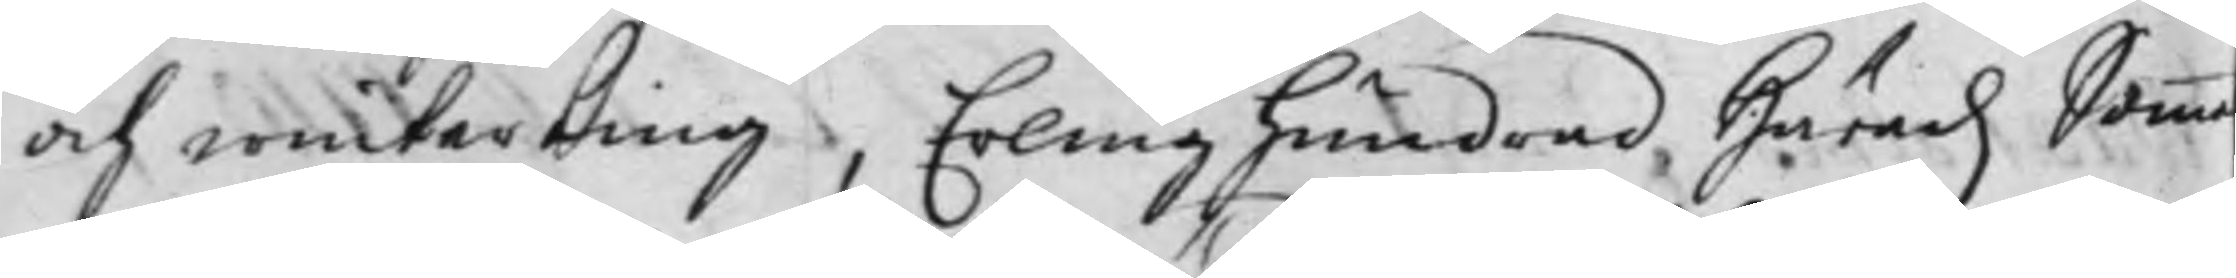och winterting, Erlinghundrad Häradz Somma
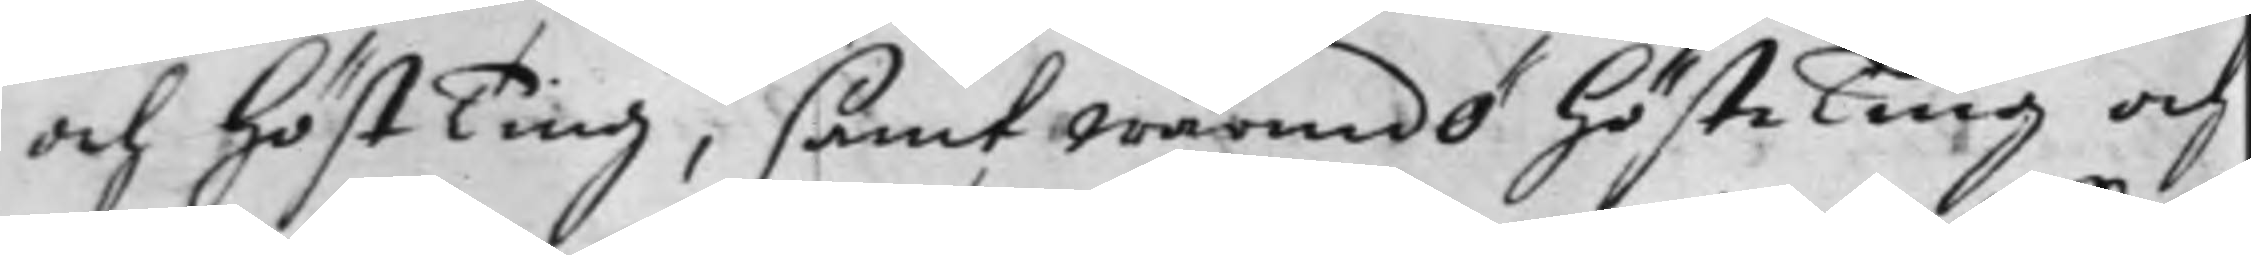och HöstTing, samt Wärmdö hösteTing oc
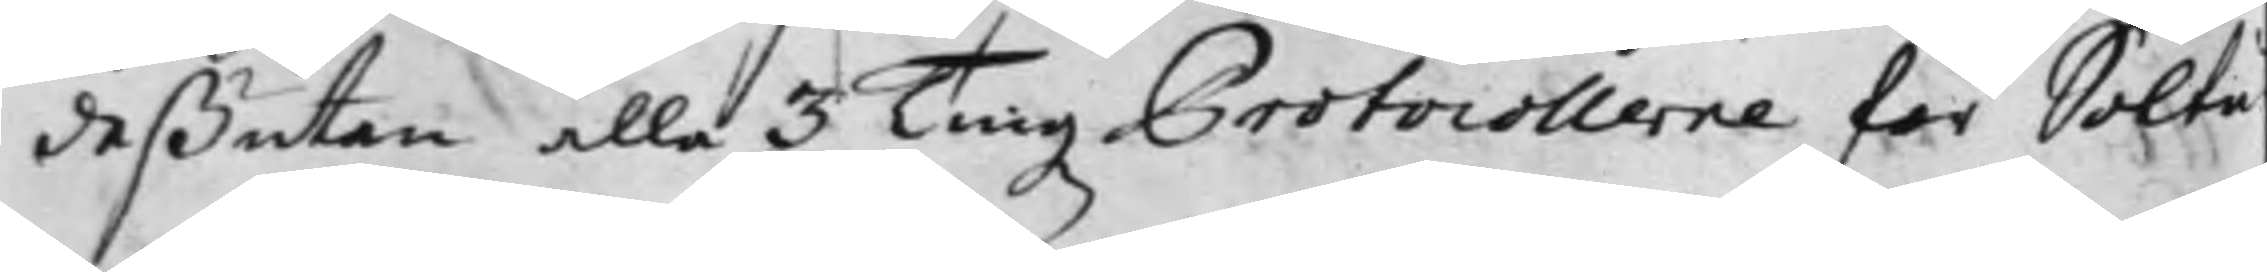deßutan alla 3 TingzProtocollerna för Soltu¬
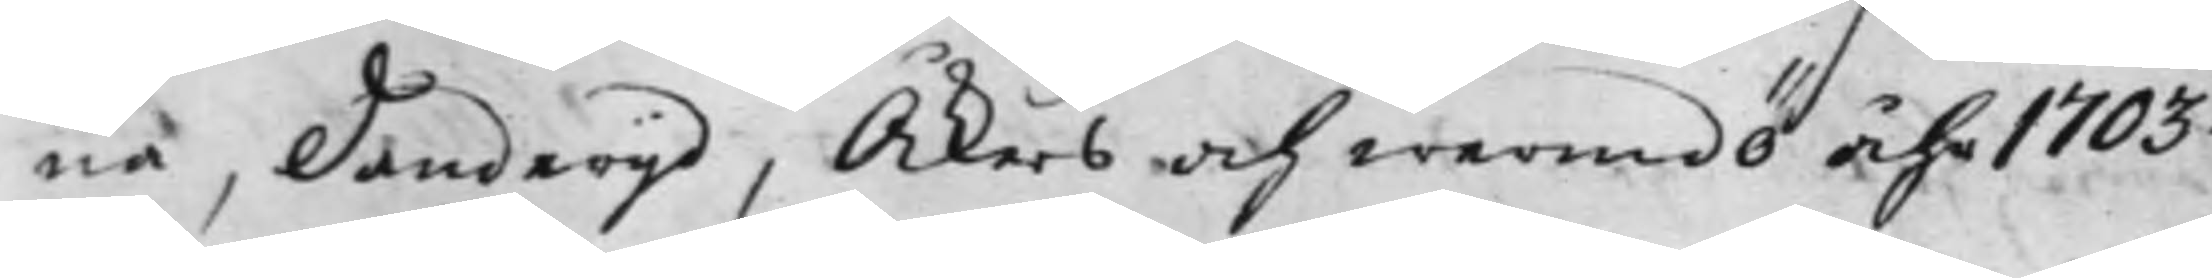na, Danderyd, Åkers och Wermdö Åhr 1703.
